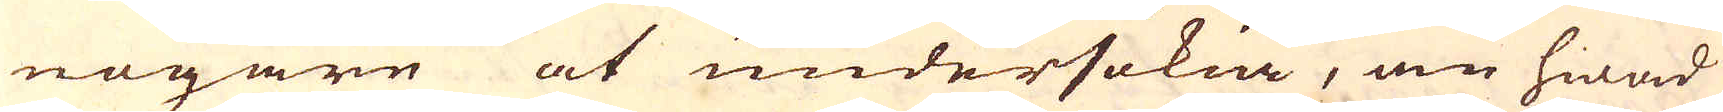nogare at undersökia, än hwad
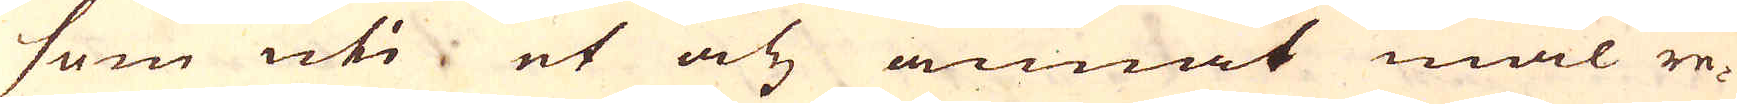som uti et och annat mål re-
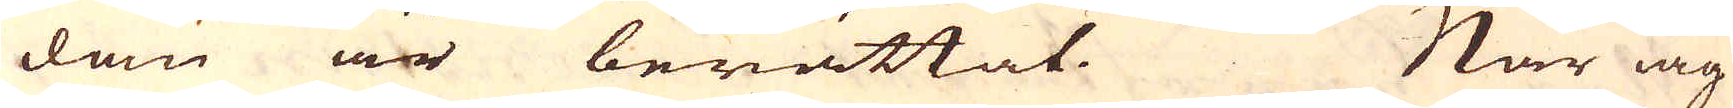dam är berättat. När iag
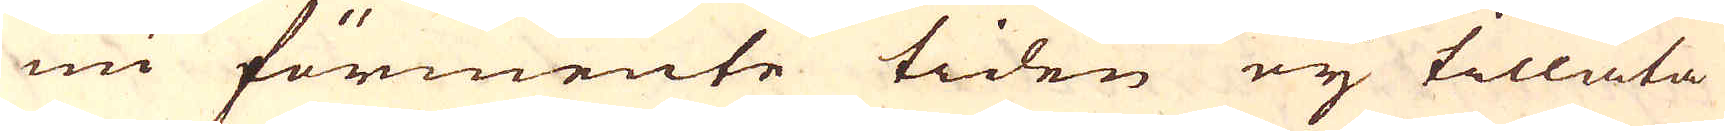nu förmente tiden eij tillåta
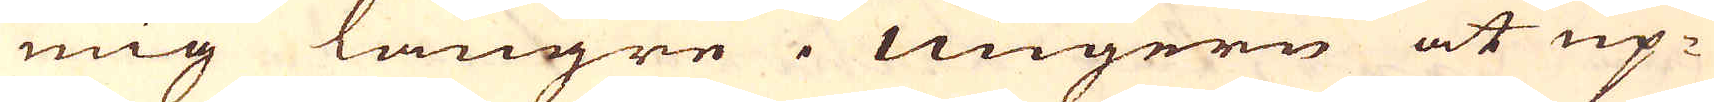mig längre i Ungern at up-
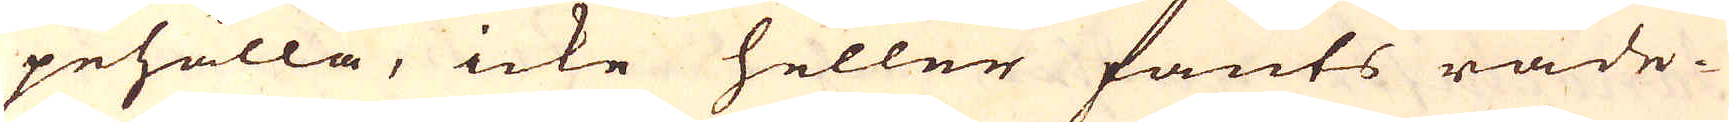pehålla, icke heller fants råde-
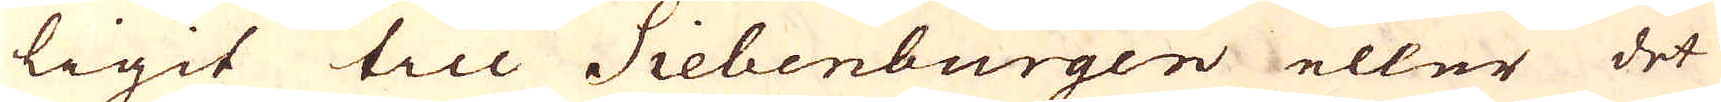ligit till Siebenburgen eller det
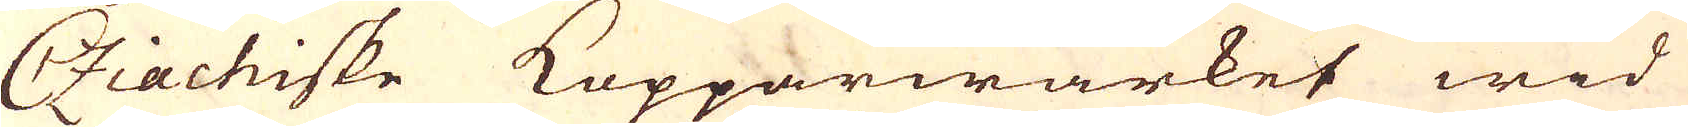Cziachiske Kopparwärket wid
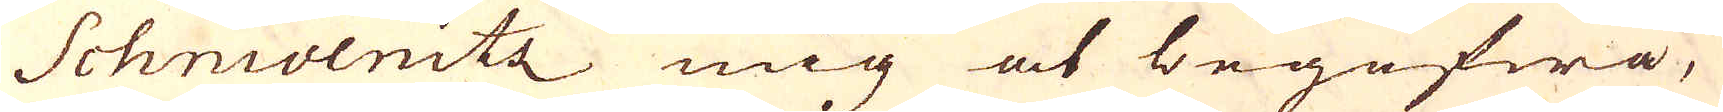Schnivenitz mig at begifwa,
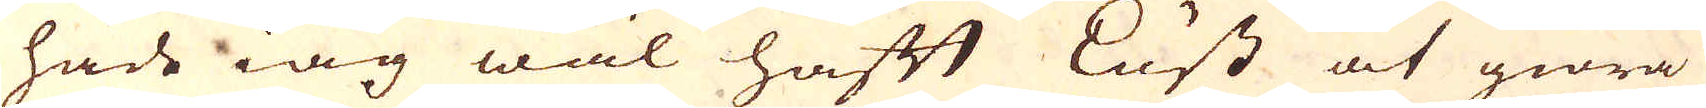hade iag wäl haft Lust at giöra
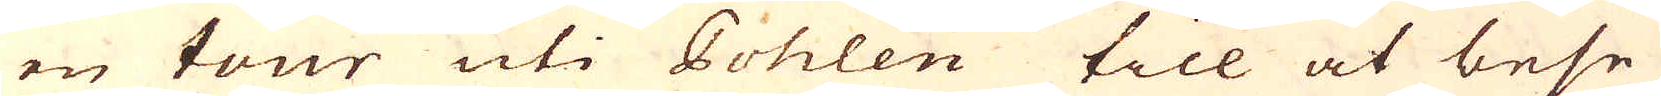en tour uti Pohlen till at bese
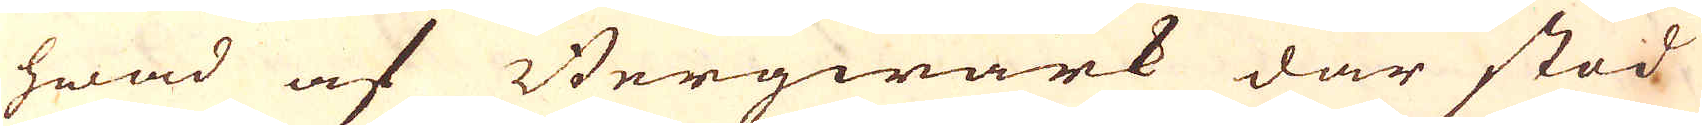hwad af Bergwärk där stod
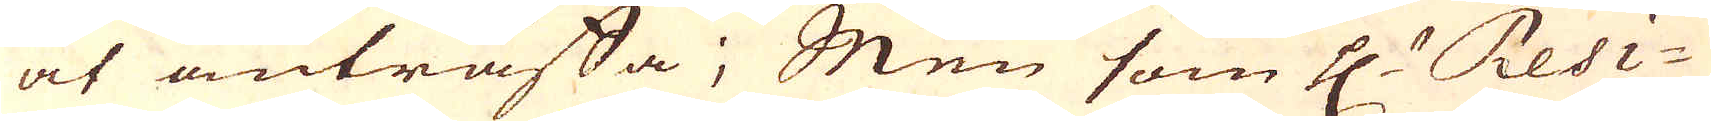at anträffa; Men som H Resi-
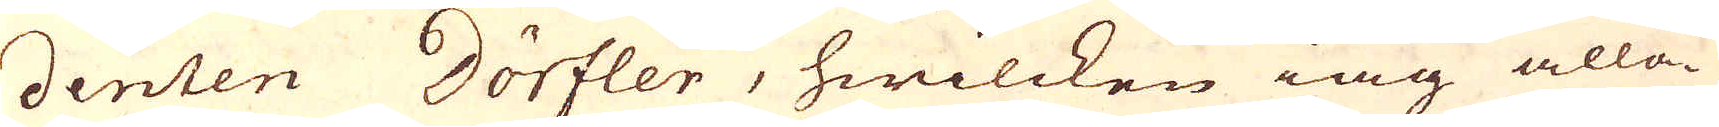denten Dörfler, hwilcken iag alla-
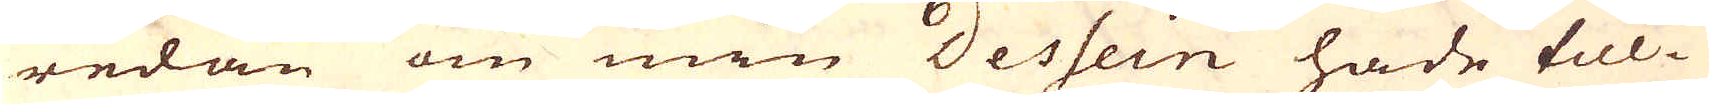redan om min Dessein hade till-
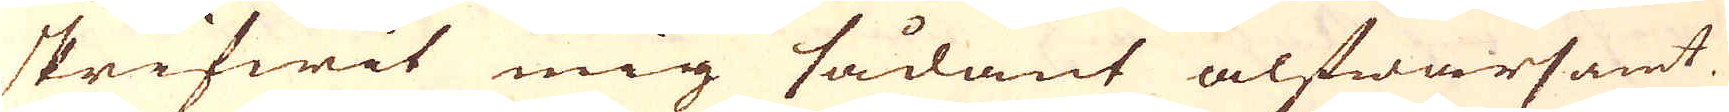skrifwit mig sådant alfwarsamt
